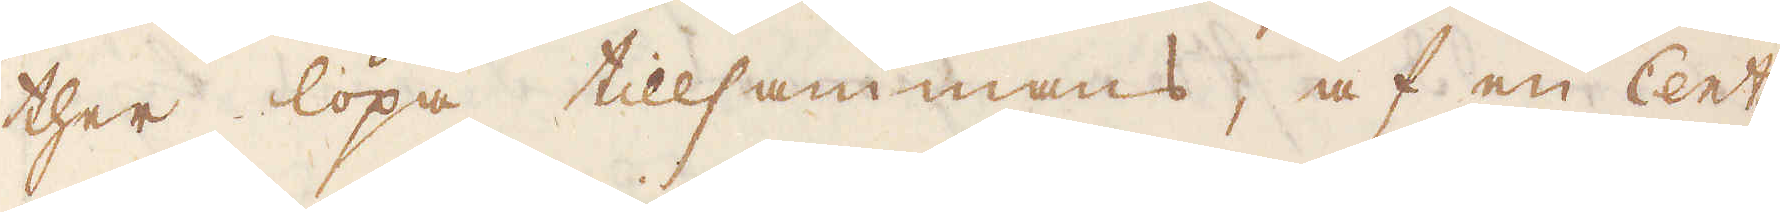ther löpa tillsammans, af en Cent:r
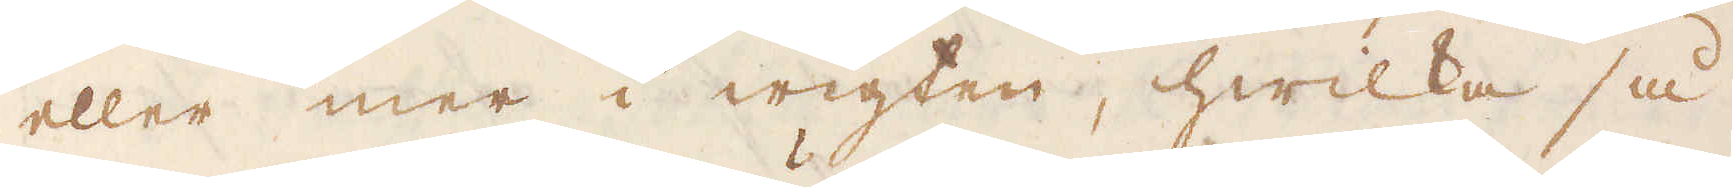eller mer i wigten, hwilka så
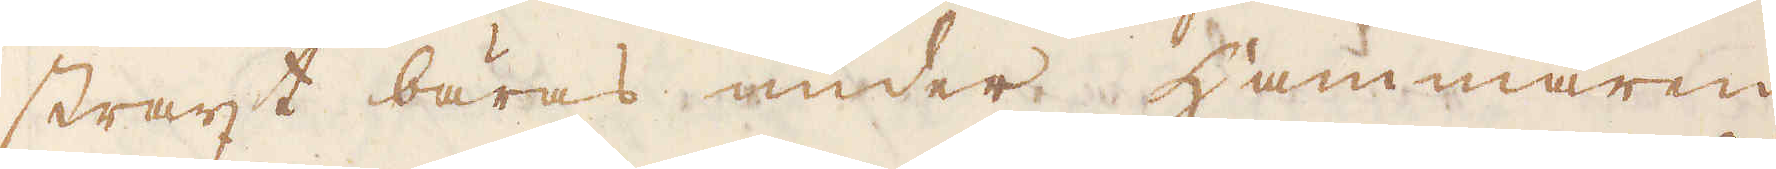straxt bäras under Hammaren
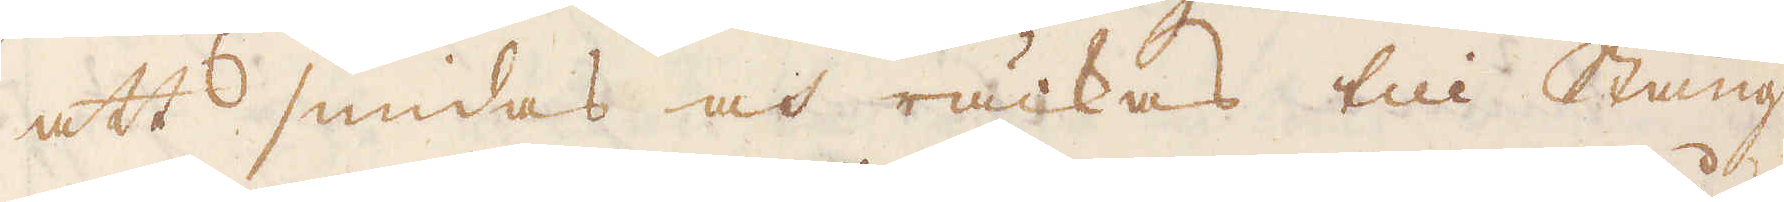att smidas och räckas till Stång-
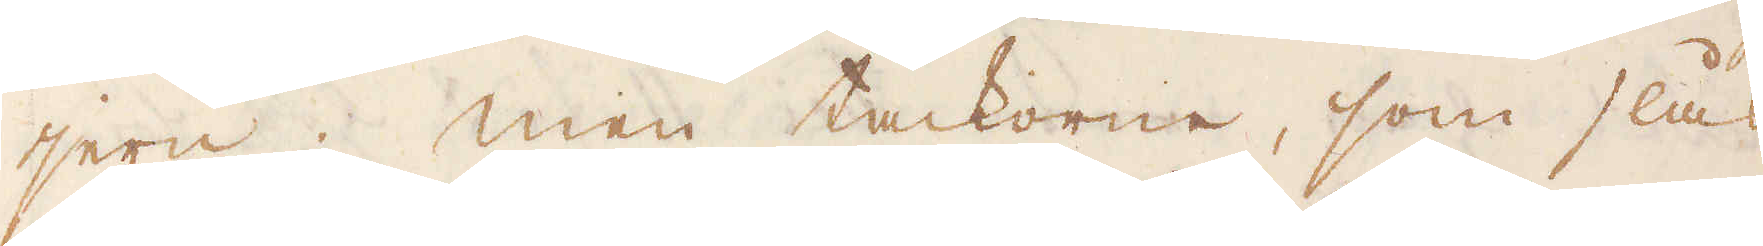jern; men tackorne, som slås
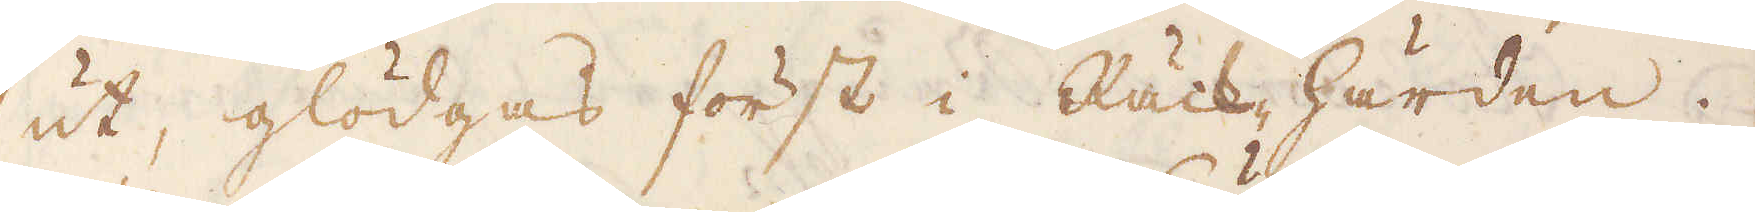ut, glödgas först i Räck härden.
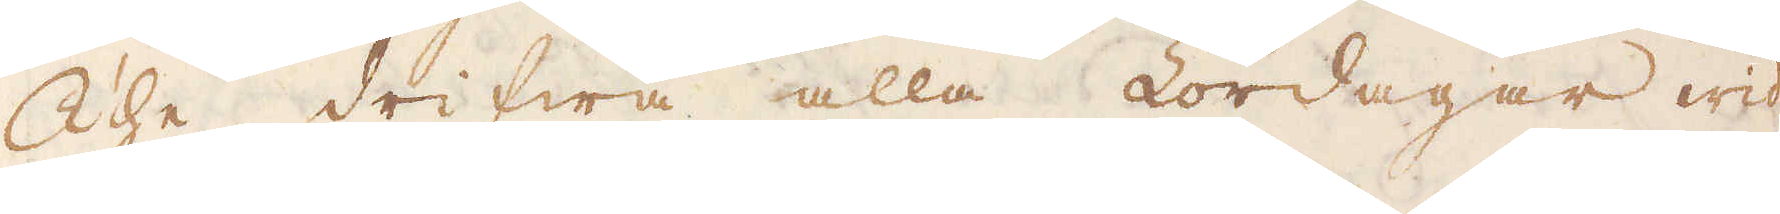The drifwa alla Lördagar wid
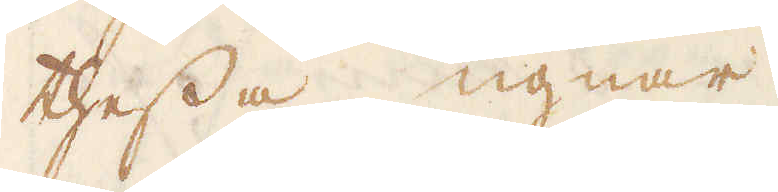thessa ugnar.
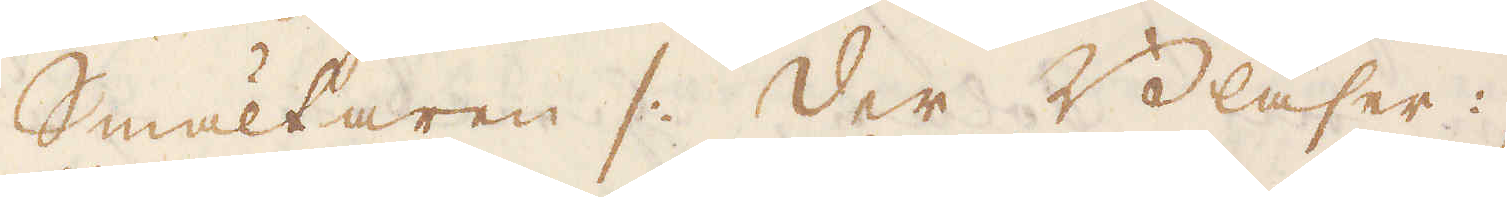Smältaren /: Der Bläser :/
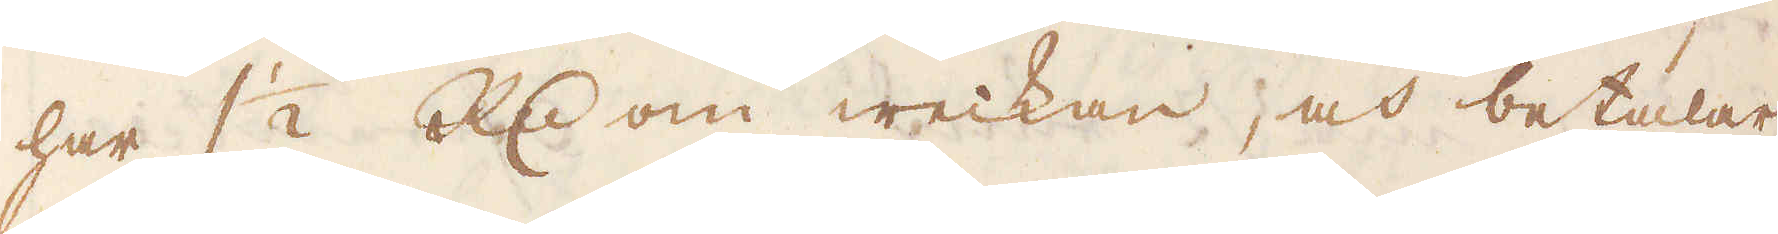har 1 1/2 R:dr om weckan, och betalar
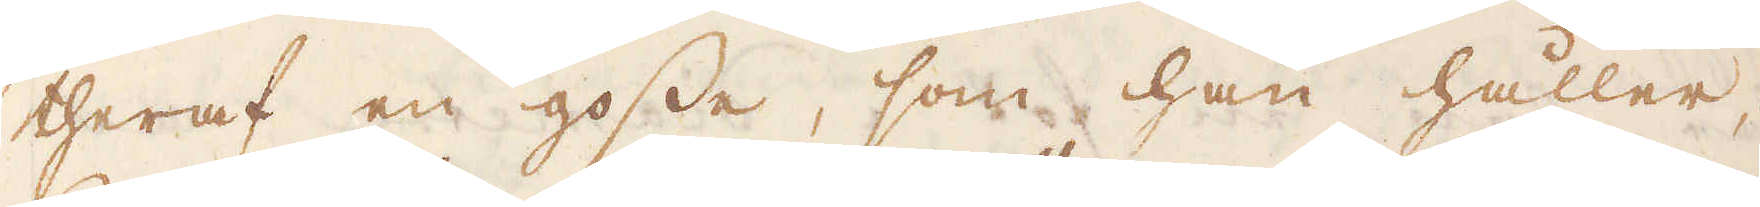theraf en gosse, som han håller,
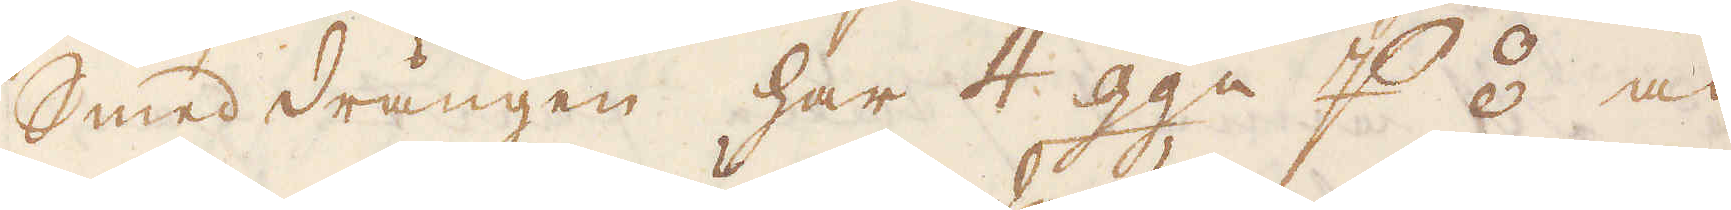Smed drängen har 4 gga p ⦂ och
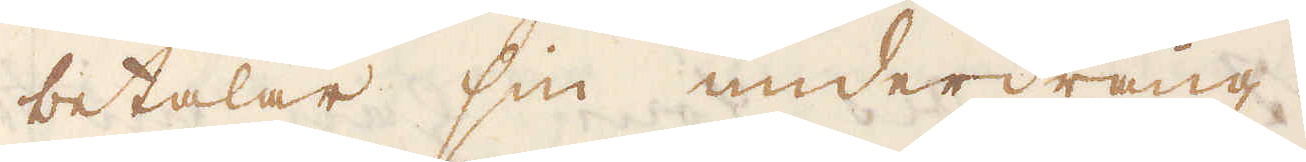betalar sin underdräng.
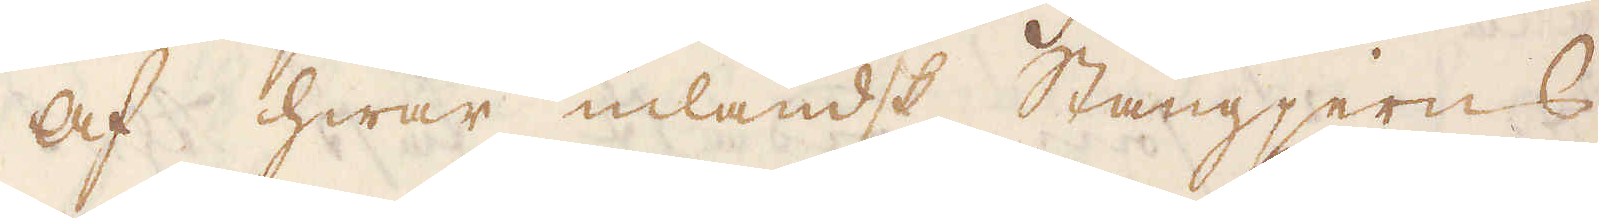Af hwar inlandt Stångjerns
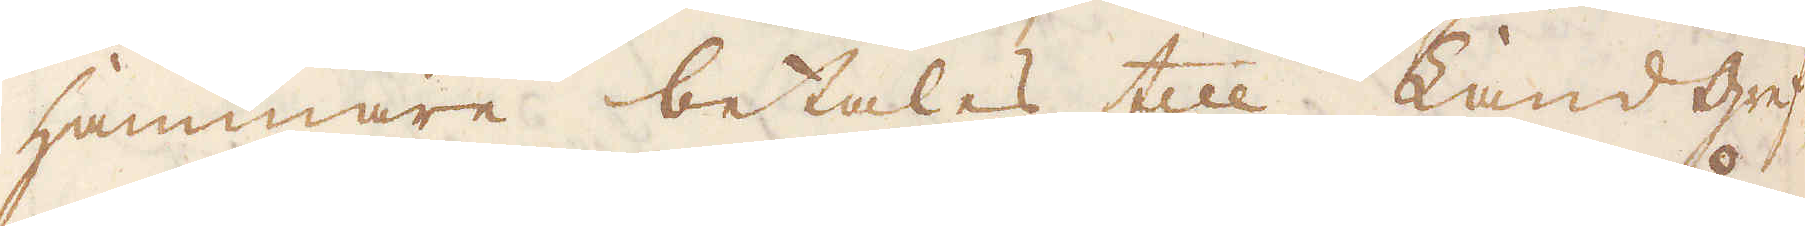Hammare betalas till Land gref-
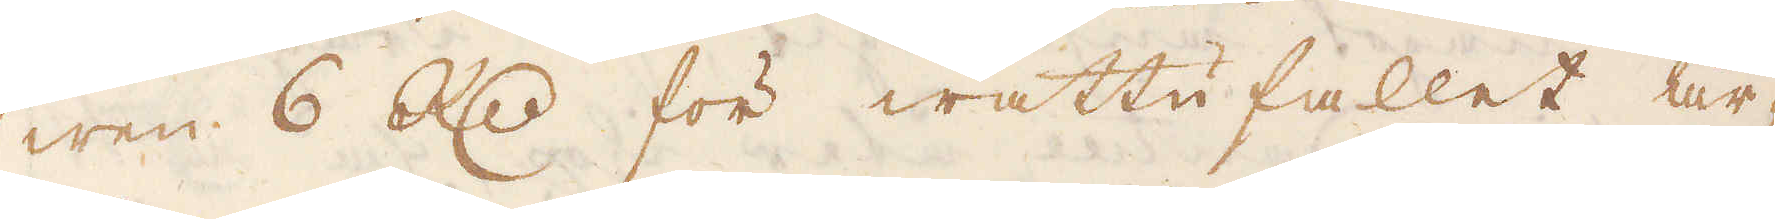wen 6 R:dr för wattufallet år-
